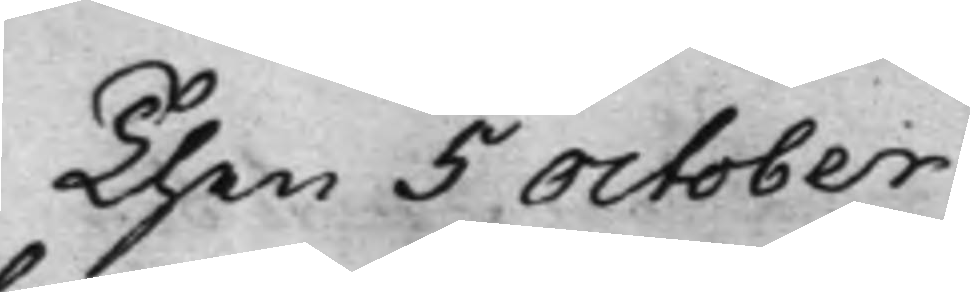Then 5 October
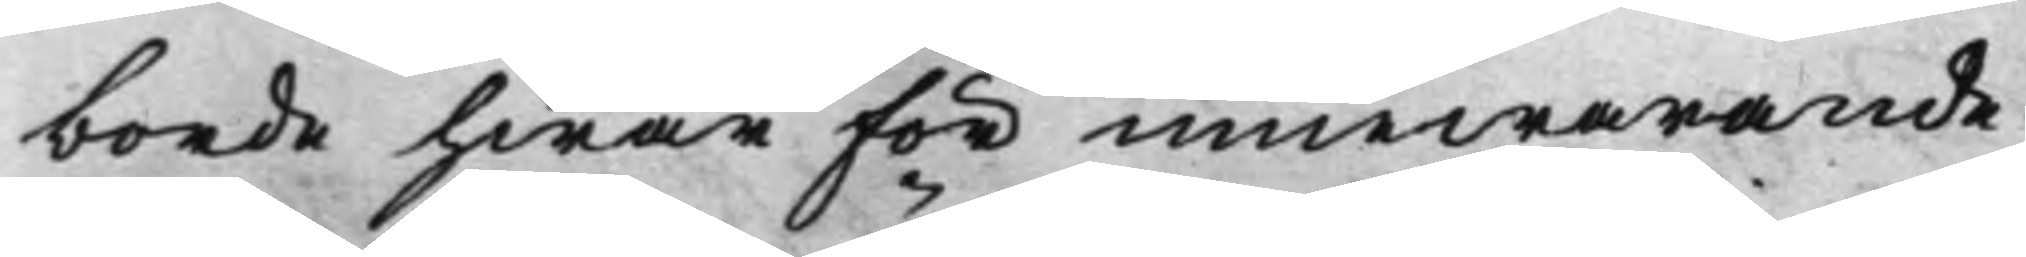borde hwar för innewarande
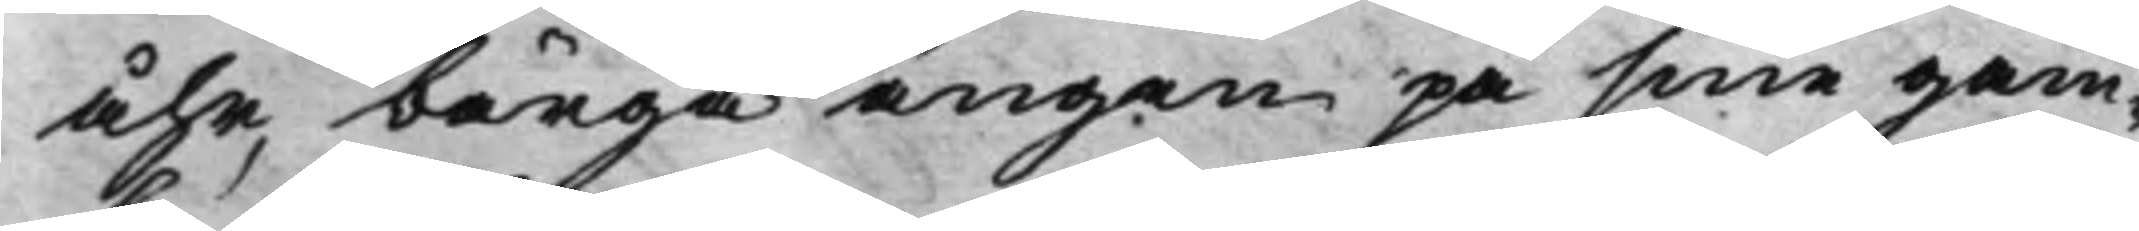åhr, bärga ängen på sine gam¬
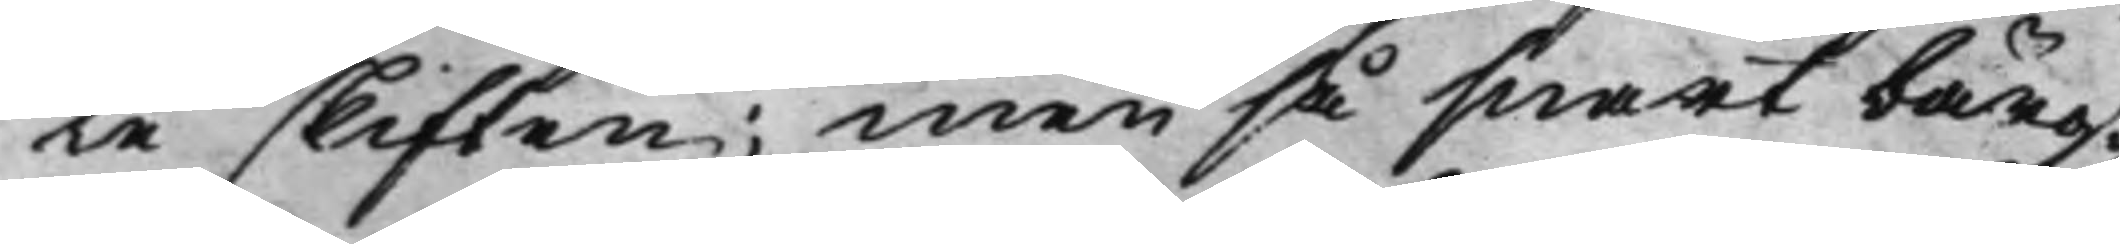le skiften; men så snart bärg¬
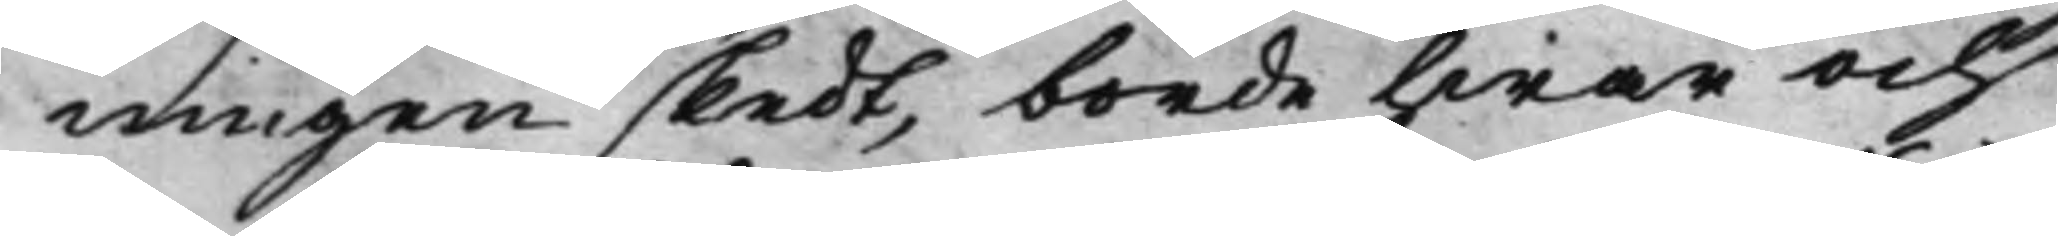ningen skedt, borde hwar och
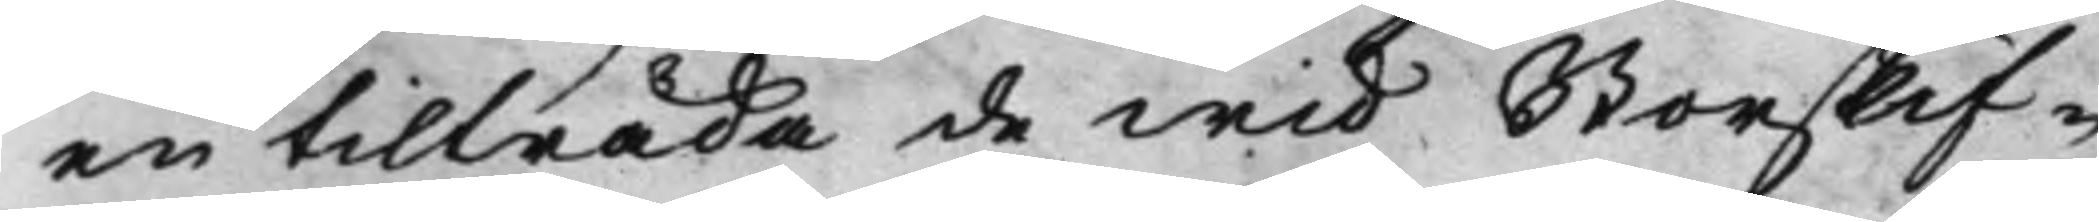en tilträda de wid Storskif¬
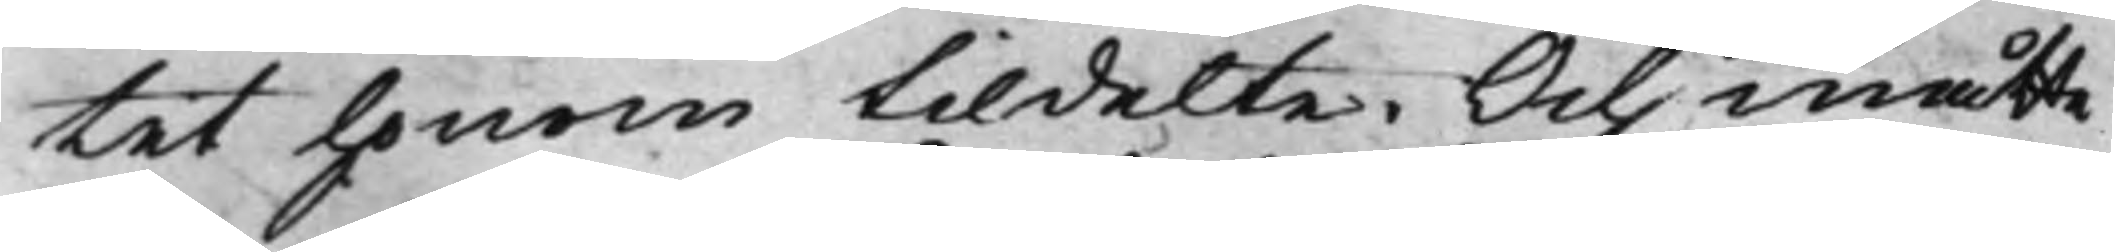tet honom tildelte. Och måtte
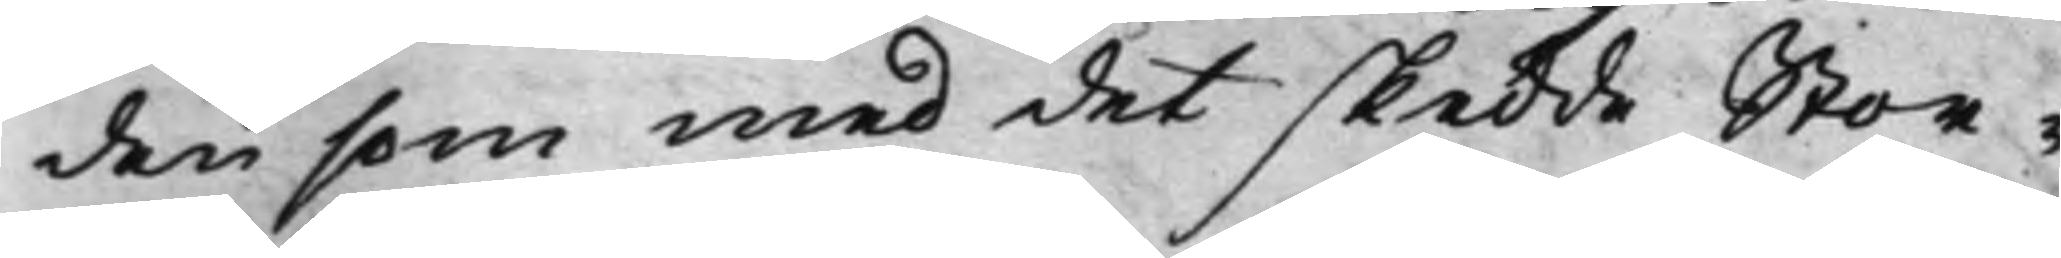den som med det skedde Stor¬
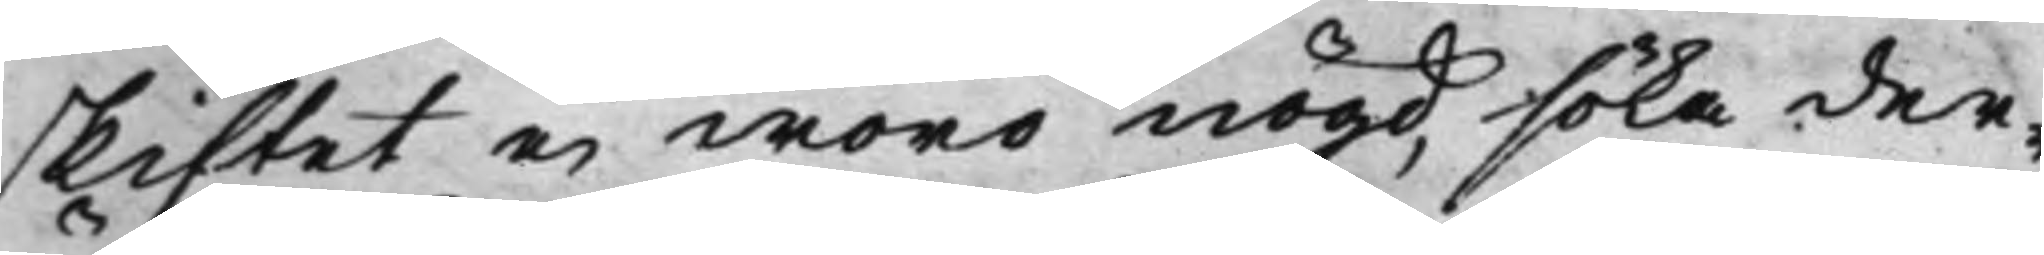skiftet ei woro nögd, söka der¬
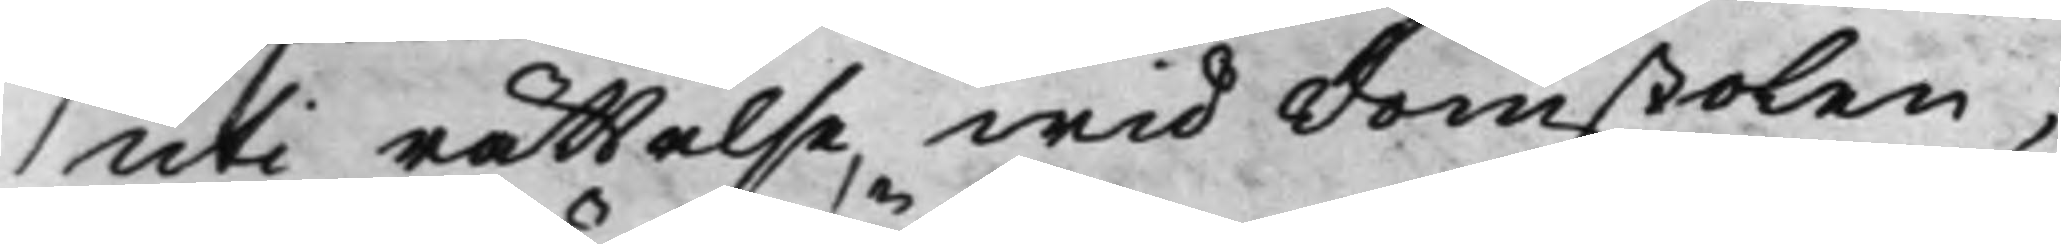uti rättelse, wid Domstolen,
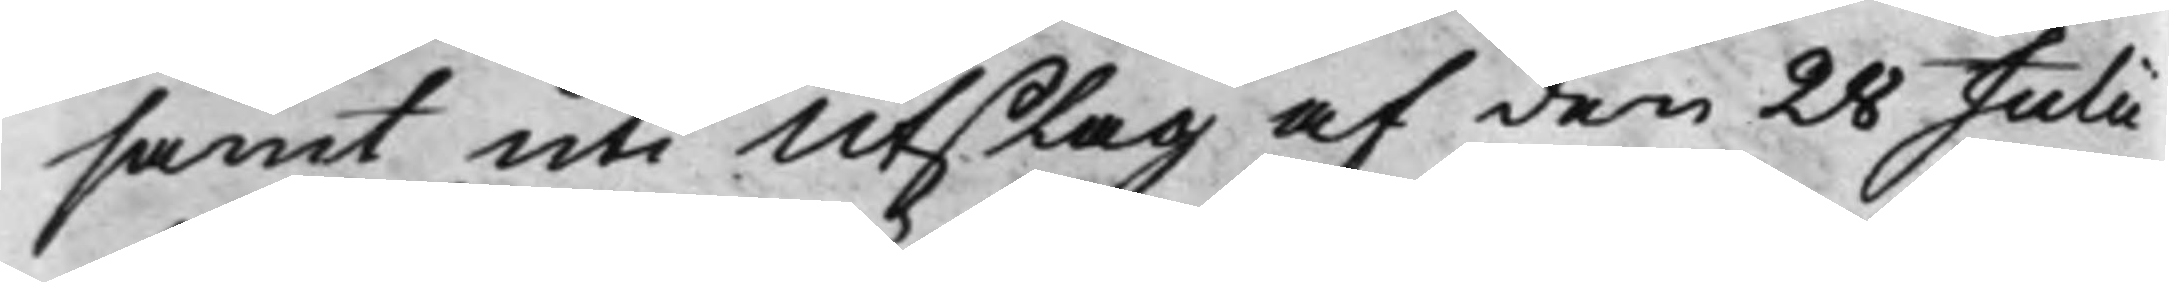samt uti Utslag af den 28 Julii
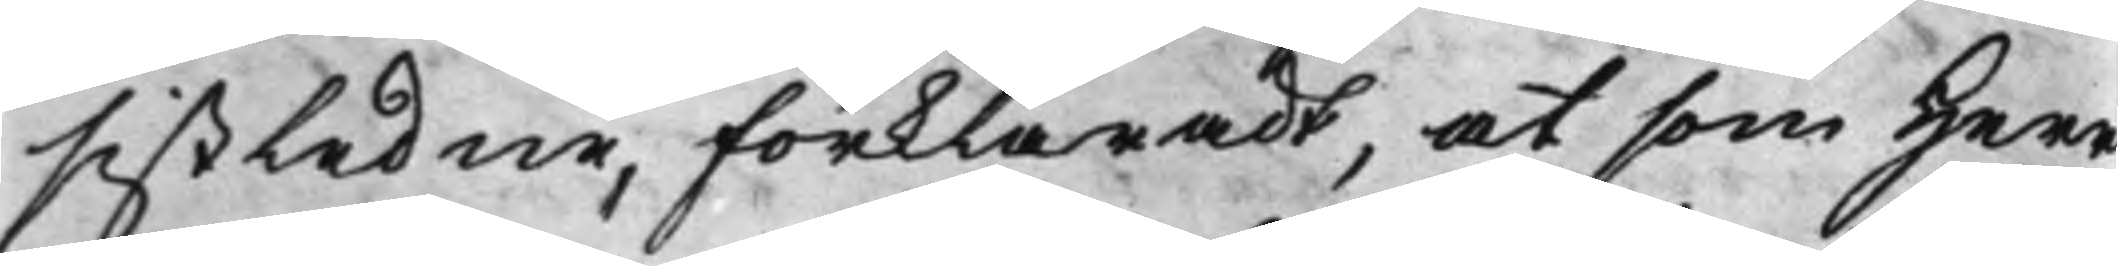sistledne, förklaradt, at som Herr
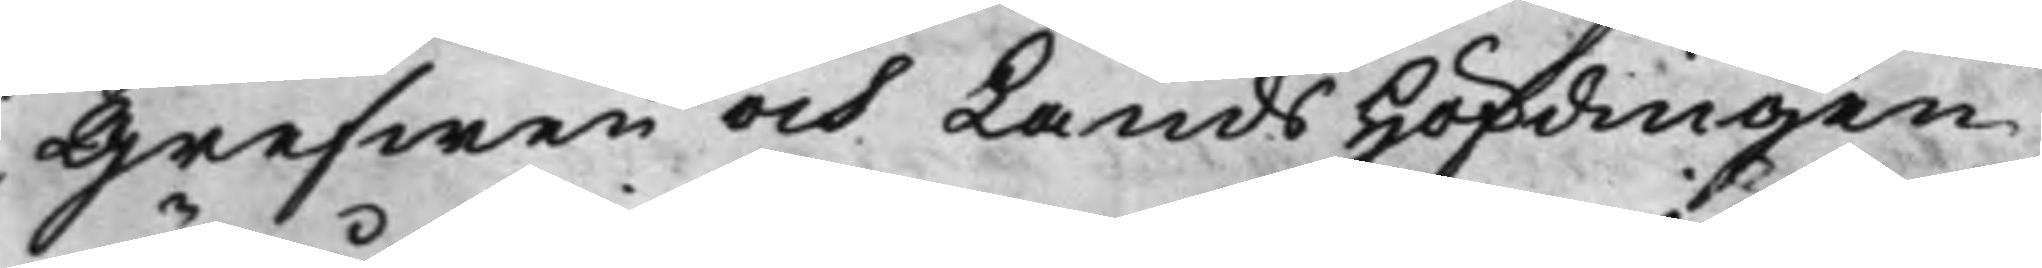Grefwen och LandsHöfdingen
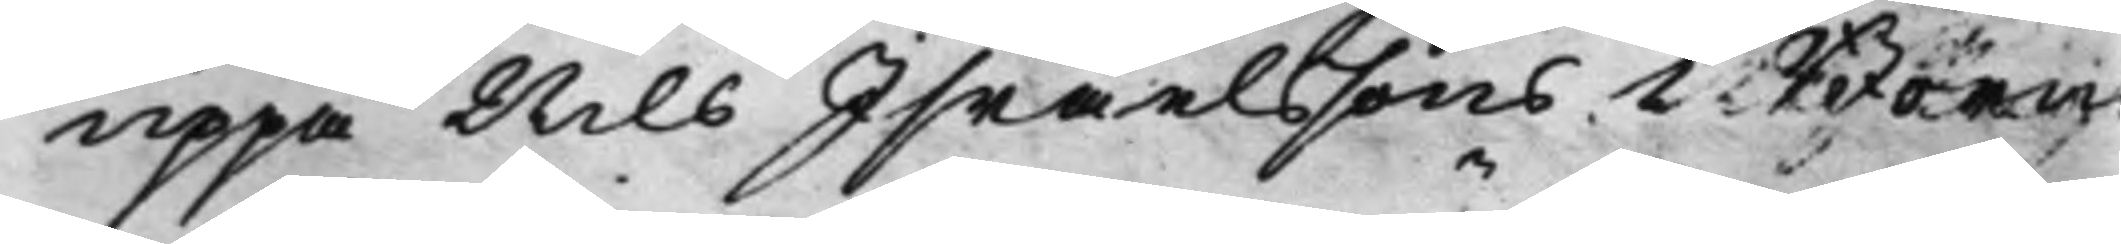uppå Nils Israelssons i Born
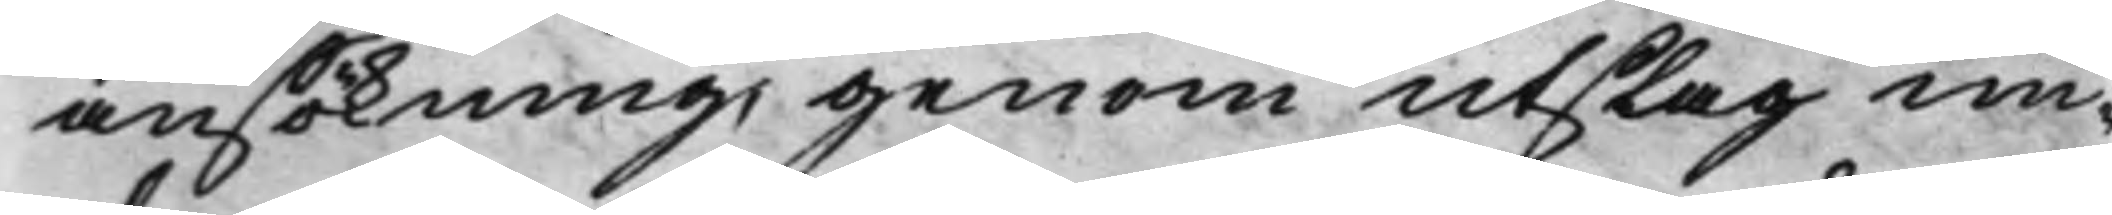ansökning, genom utslag un¬
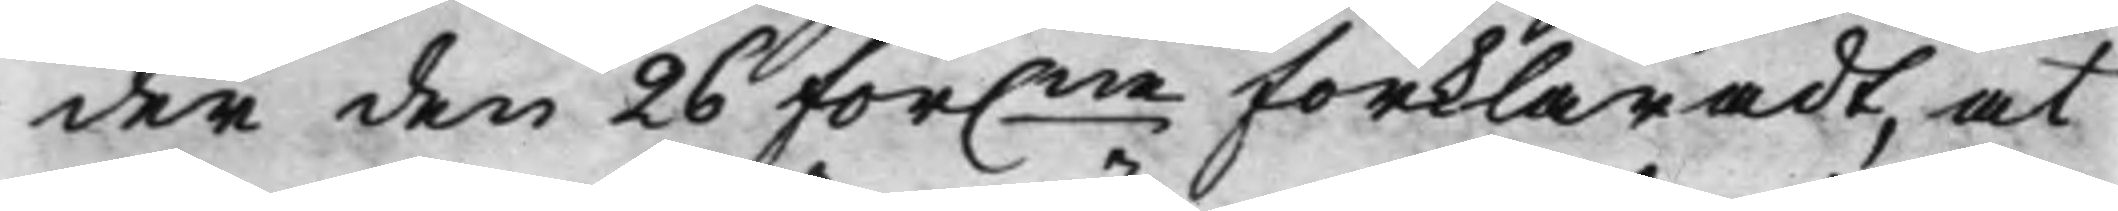der den 26 för.ne förklaradt, at
